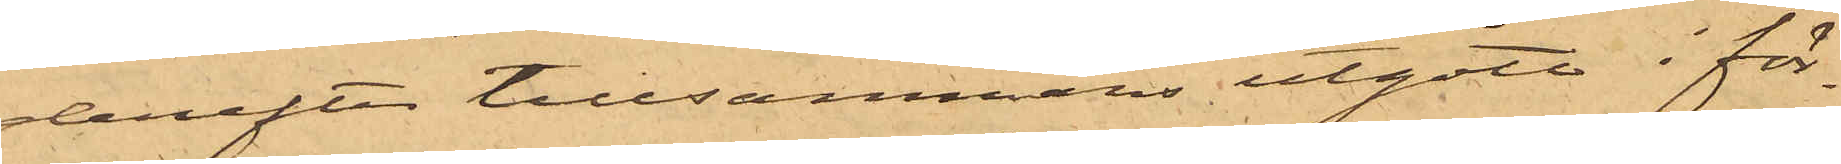derefter tillsammans utgått i för¬
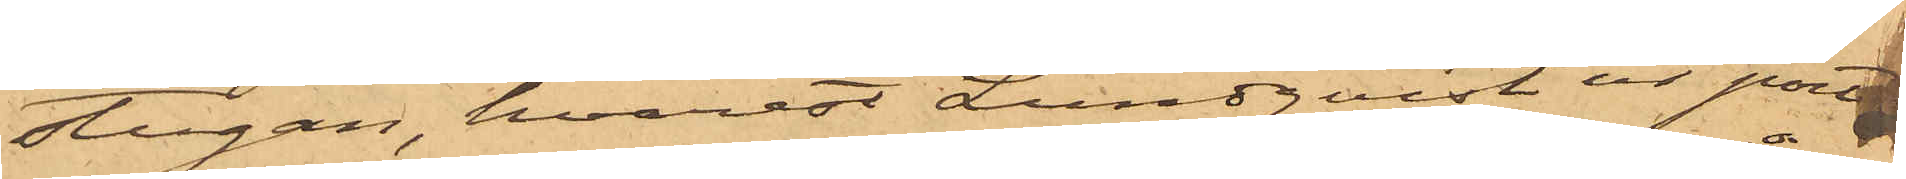stugan, hvarest Lundqvist ur port¬
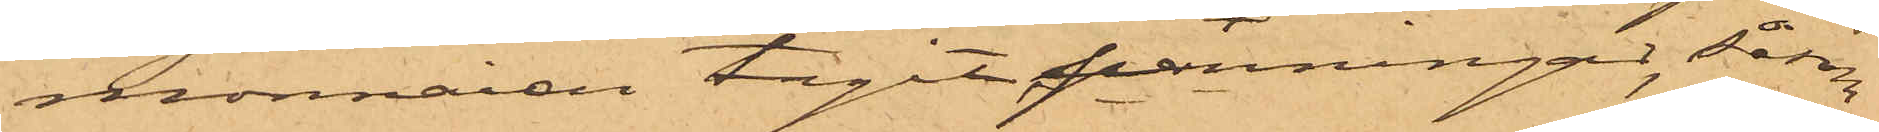monnaien tagit penningar, såsom
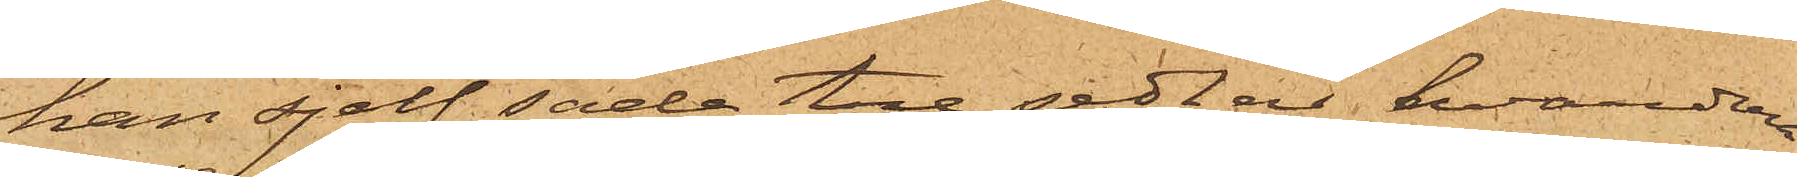han sjelf sade, tre sedlar hvardera
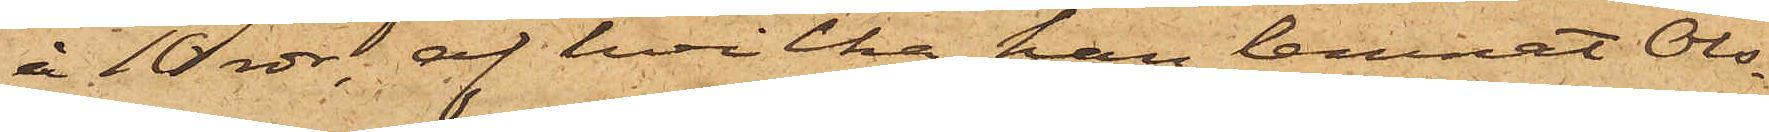å 10 rdr, af hvilka han lemnat Ols¬
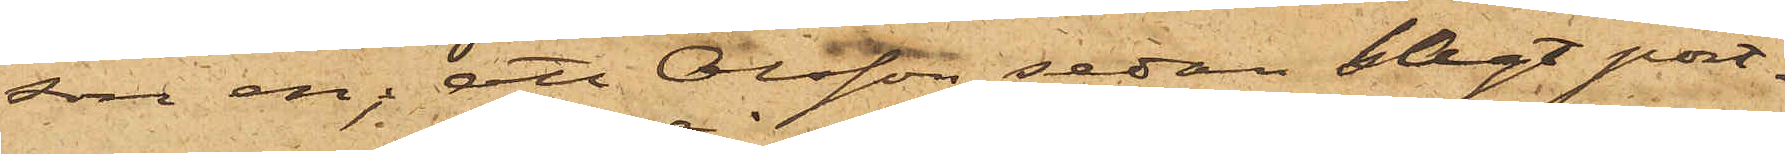son en; att Olsson sedan lagt port¬
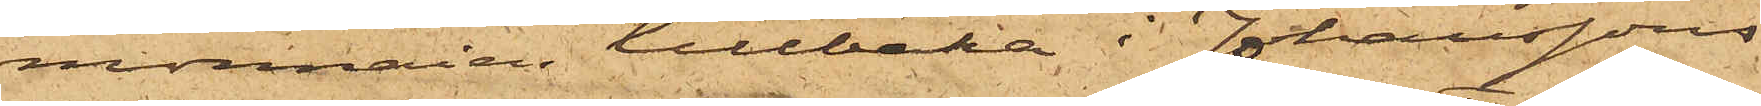monnaien tillbaka i Johanssons
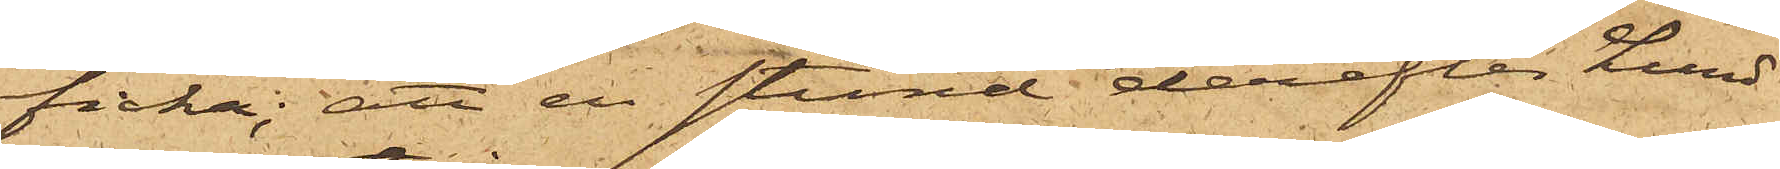ficka; att en stund derefter Lund¬
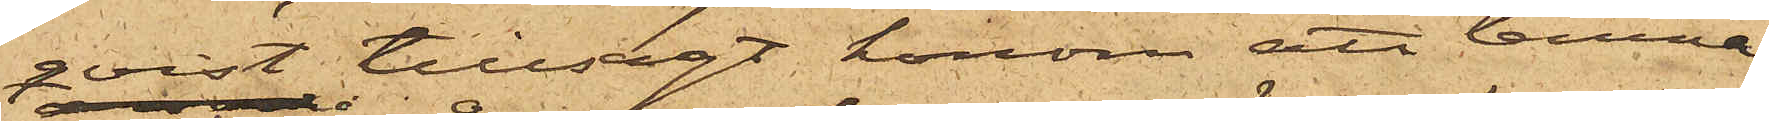qvist tillsagt honom att lemna
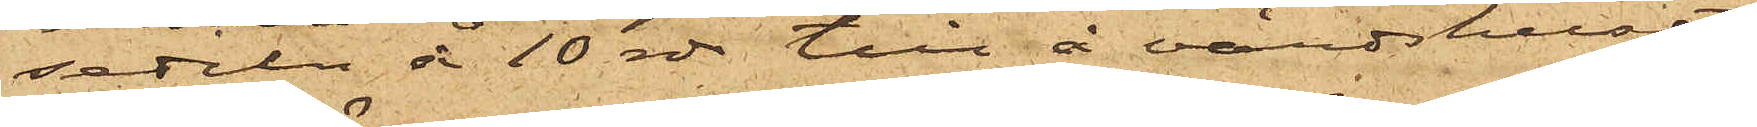sedeln å 10 rdr till å värdshuset
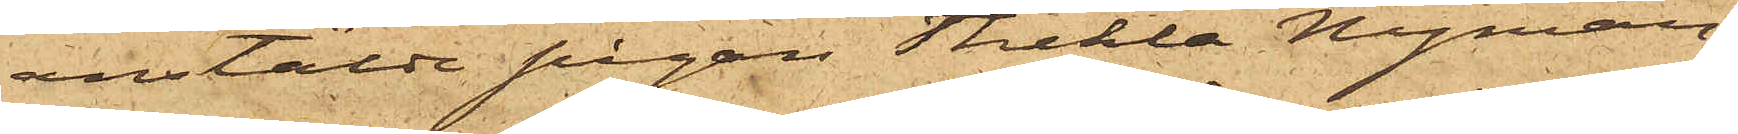anstälde pigan Thekla Nyman,
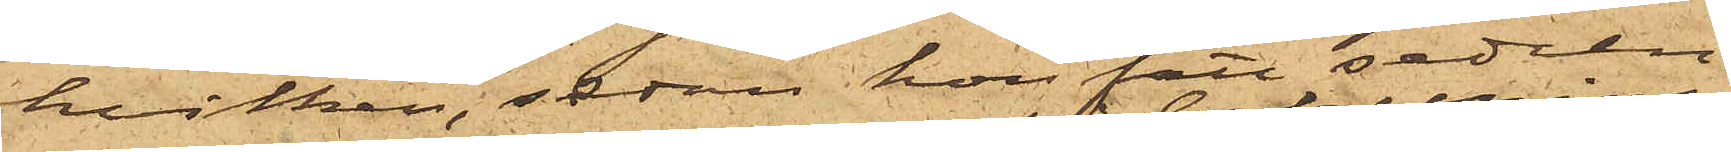hvilken, sedan hon fått sedeln
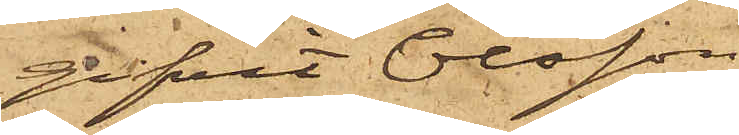gifvit Olsson
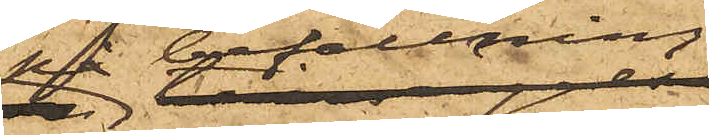på befallning
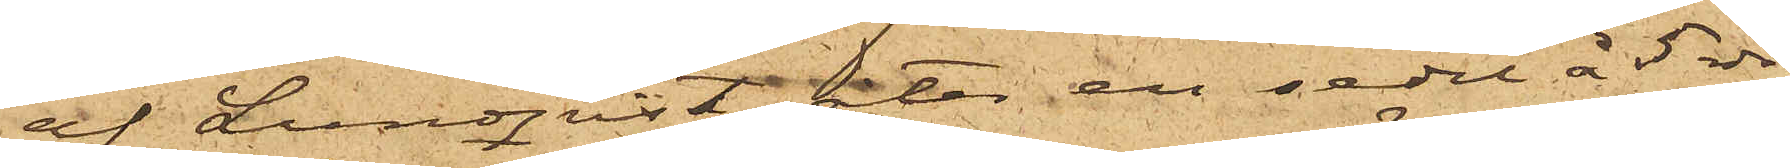af Lundqvist åter en sedel å 5 rdr;
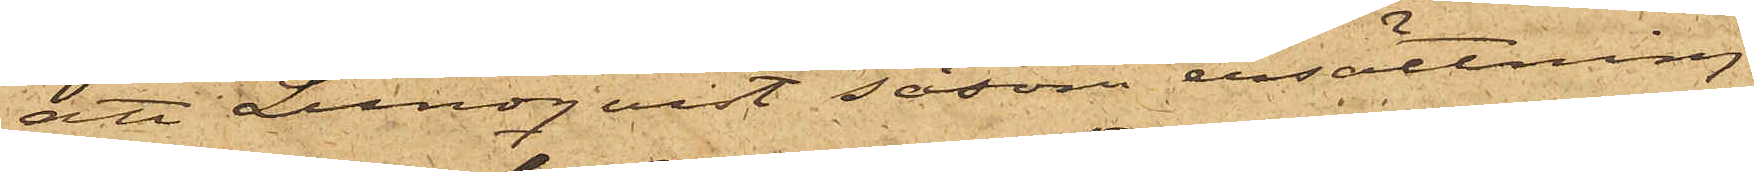att Lundqvist såsom ersättning
